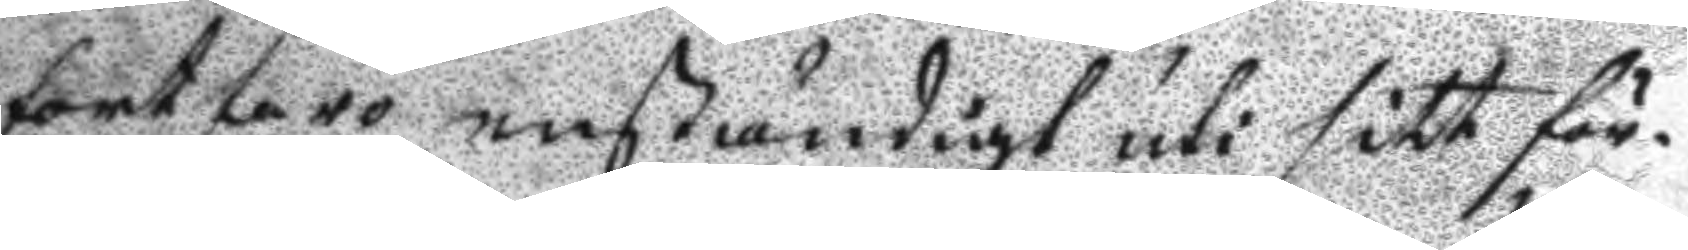fortforo enständigt uti sitt för¬
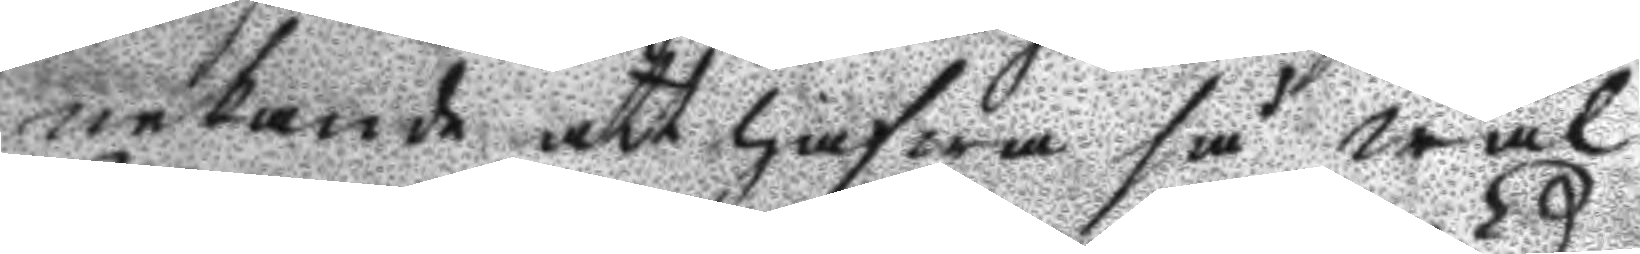nekande att hafwa så wäl
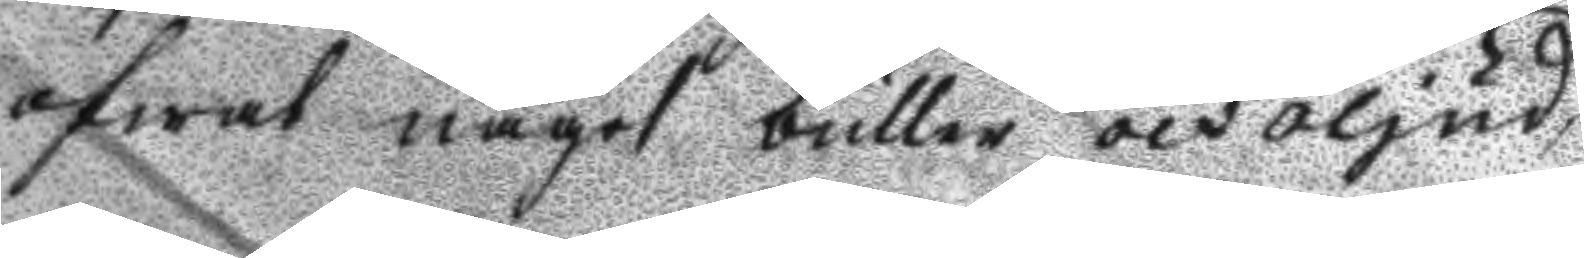öfwat något buller och oljud,
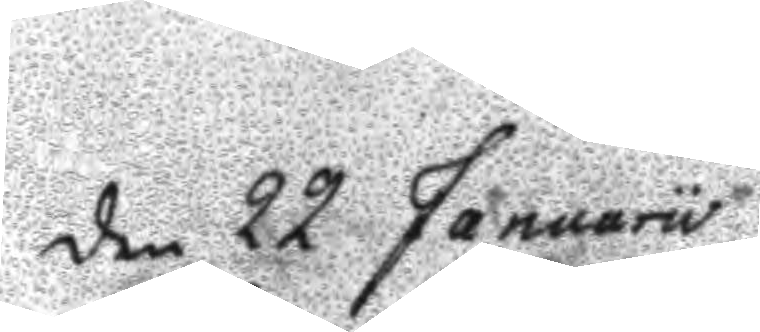den 22 Januarii
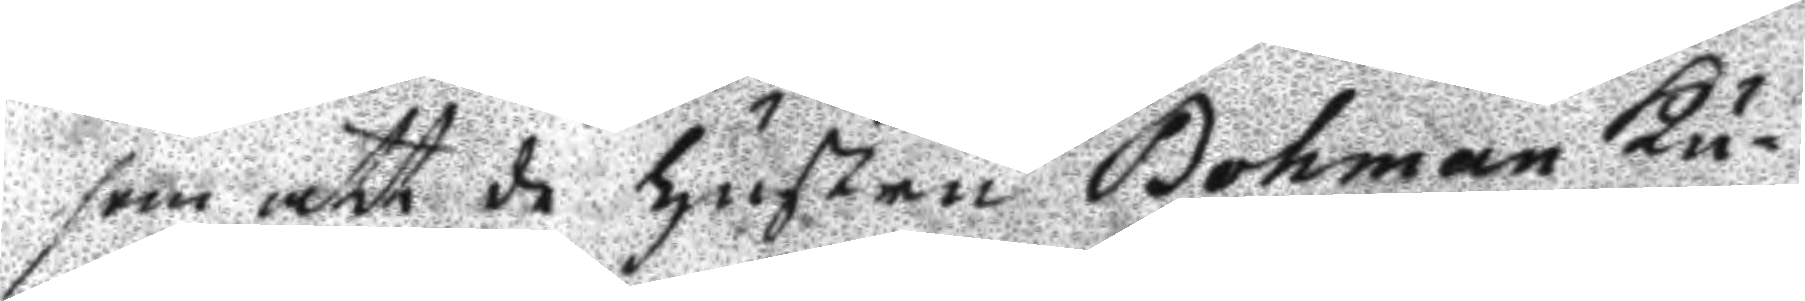som att de hustru Bohman Ku¬
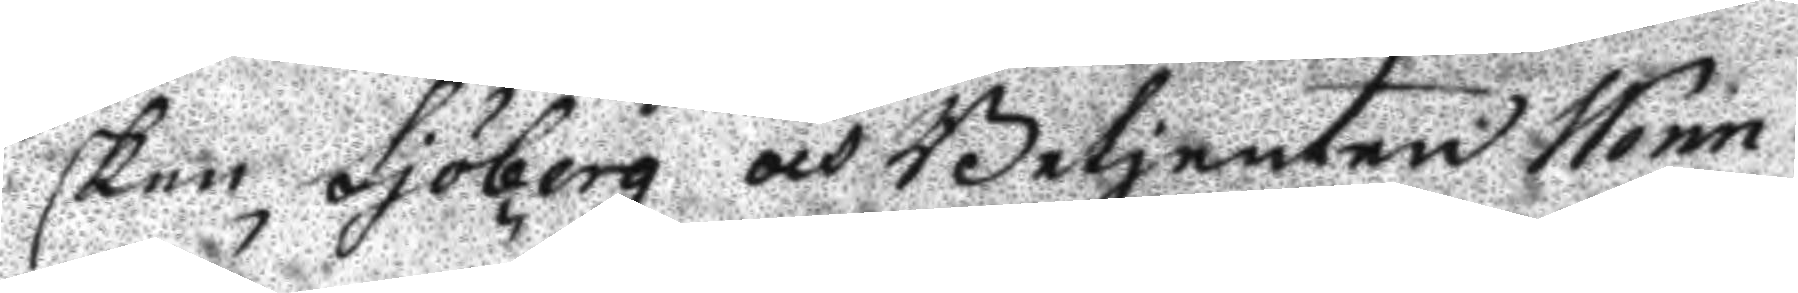sken Sjöberg och Betjenten Wenn¬ 
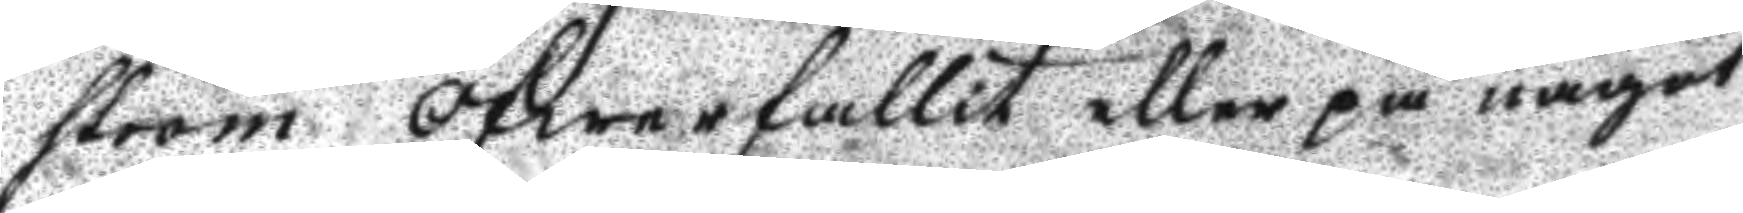ström öfwerfallit eller på något
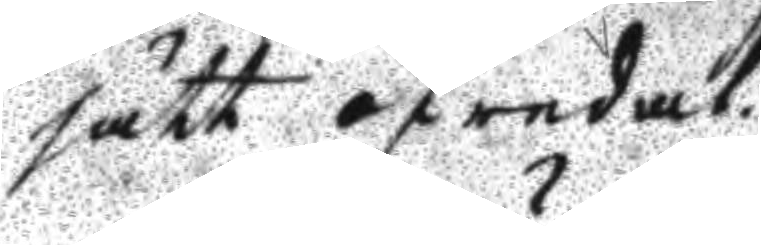sätt ofredat.
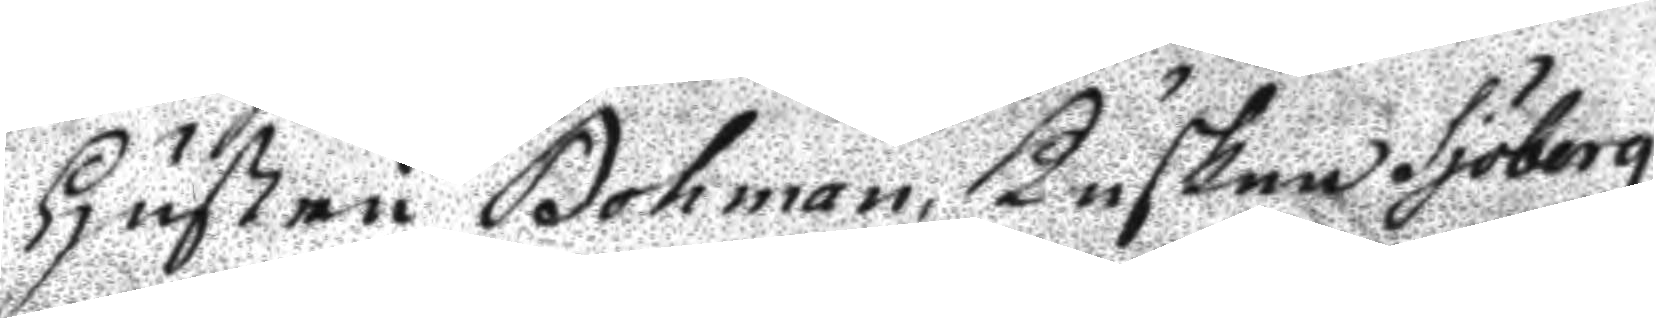Justru Bohman, Kusken Sjöberg
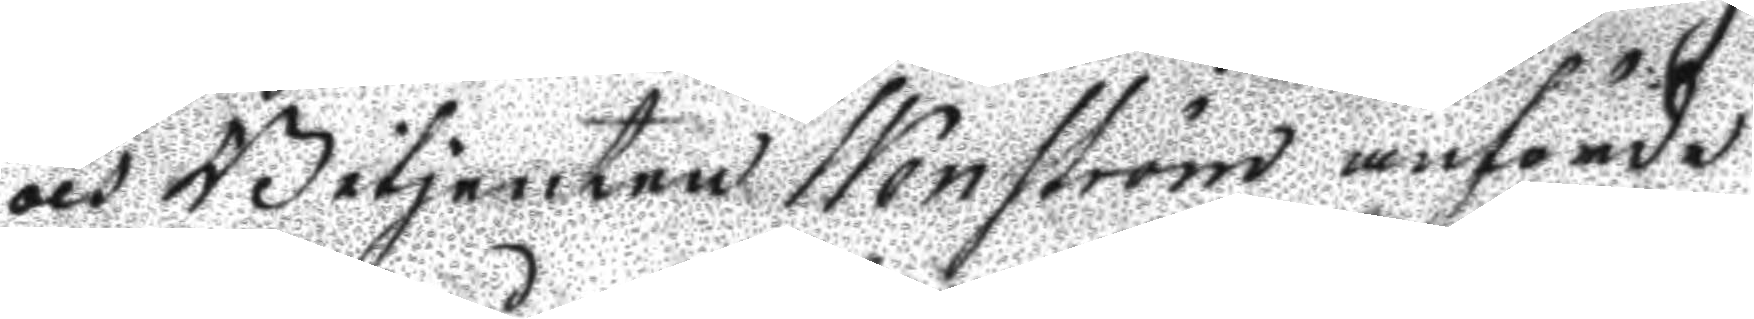och Betjenten Wenström anförde
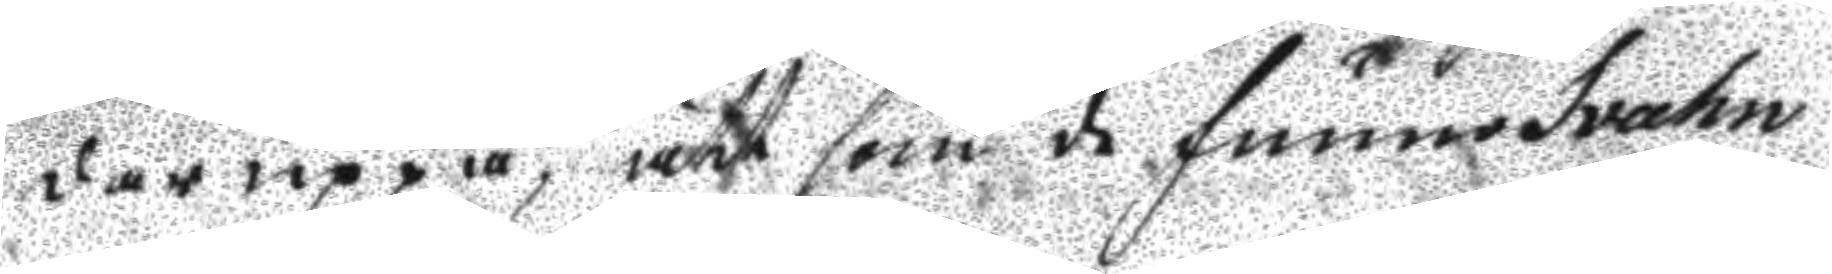där uppå, att som de funno Svahn
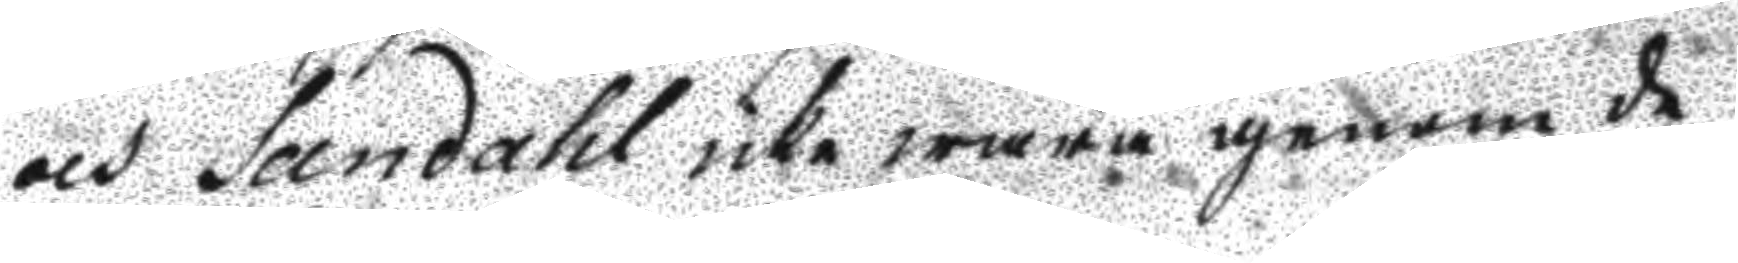och Sandahl icke wara genom de
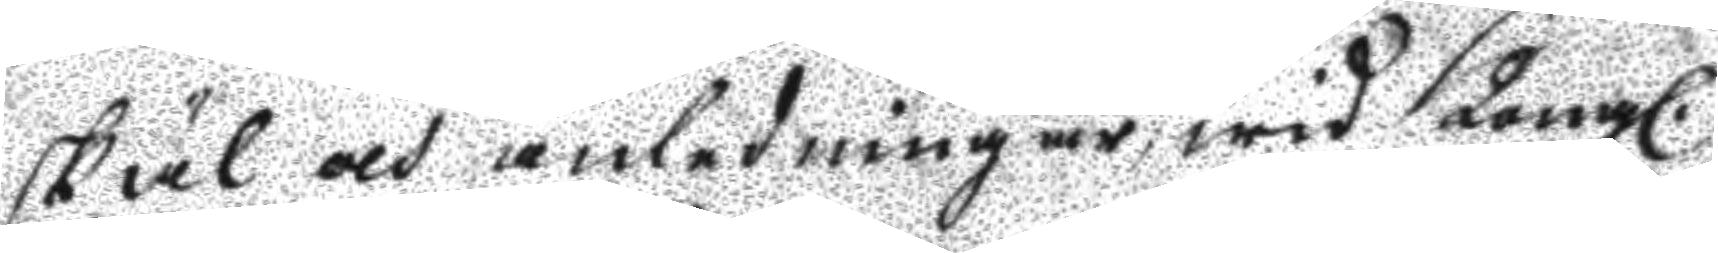skäl och anledningar wid Kongl.
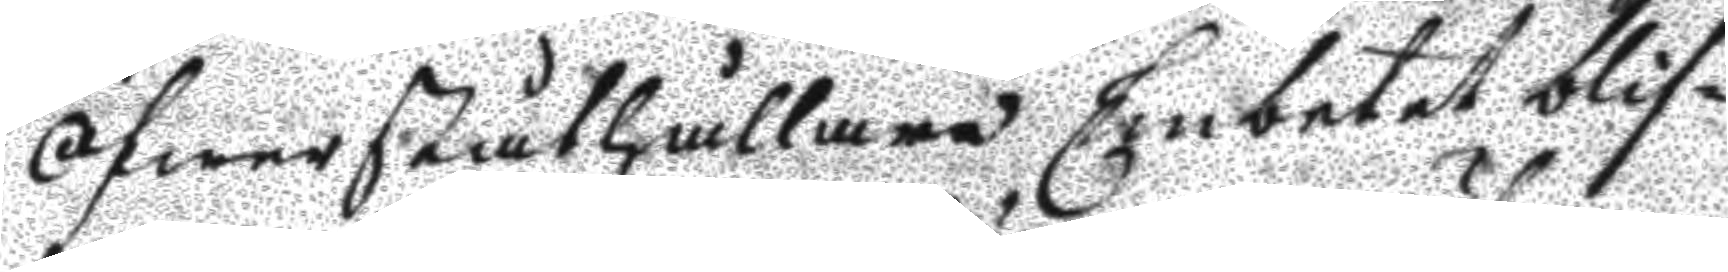Öfwerståthållare Embetet blif¬
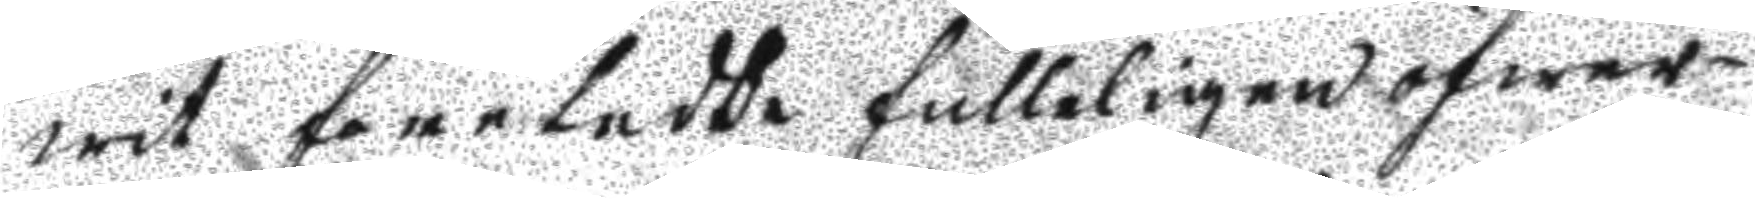wit företedde fulleligen öfwer¬
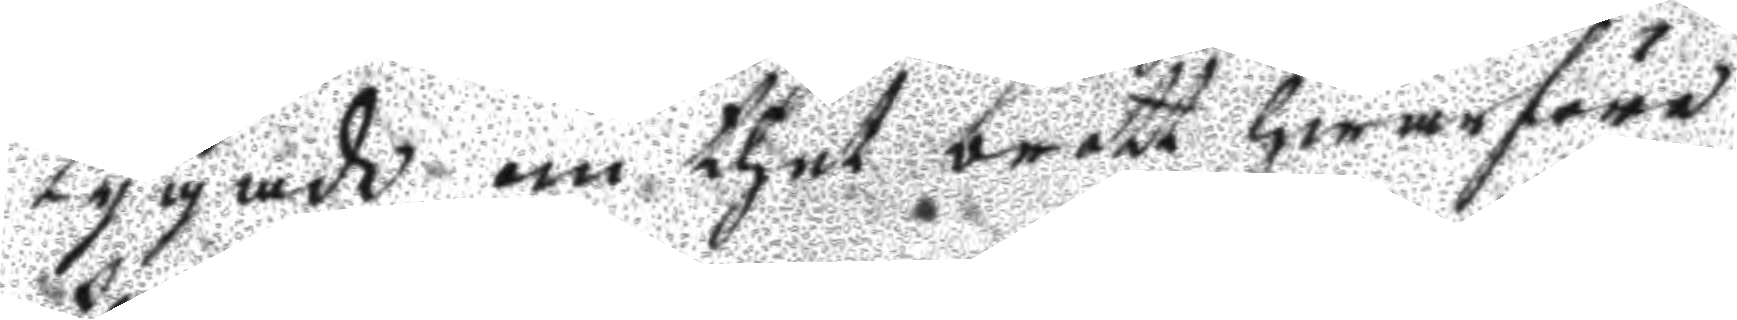tygade om thet brott hwarföre
